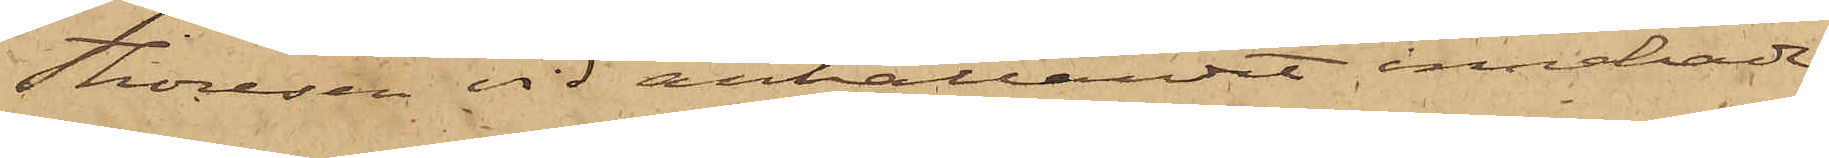Thoresen vid anhållandet innehade,
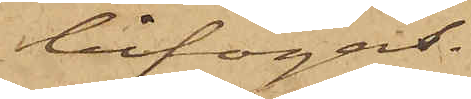bifogas.
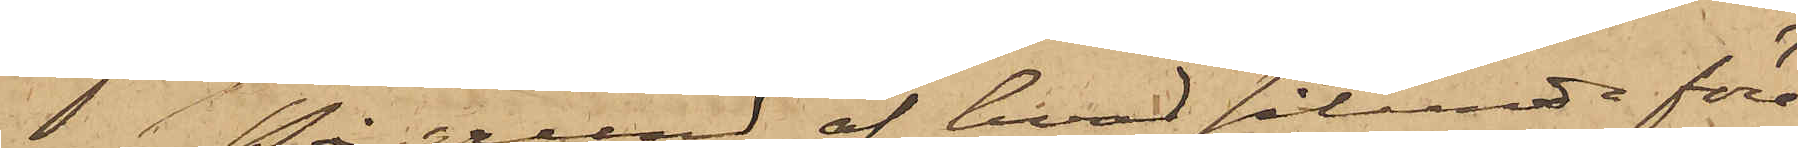På grund af hvad sålunda före¬
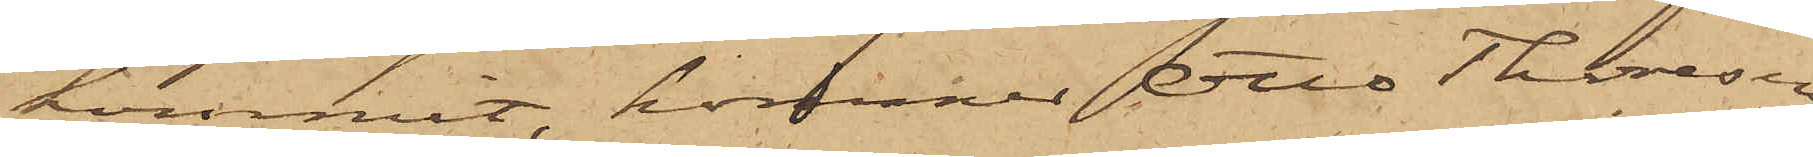kommit, kommer Otto Thoresen
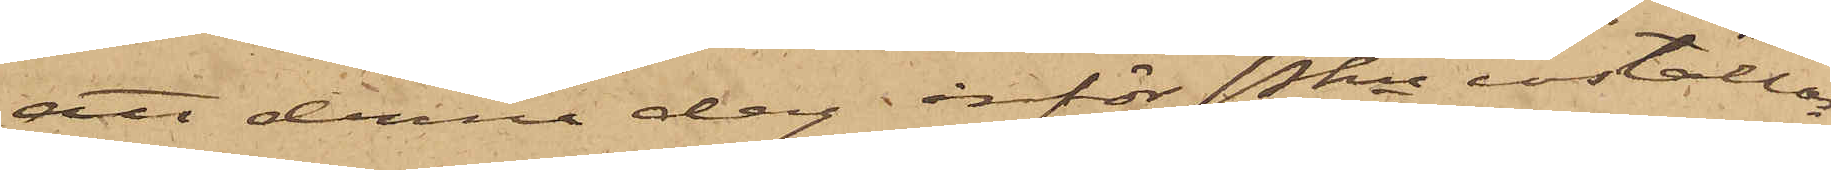att denna dag inför Pkn inställas.
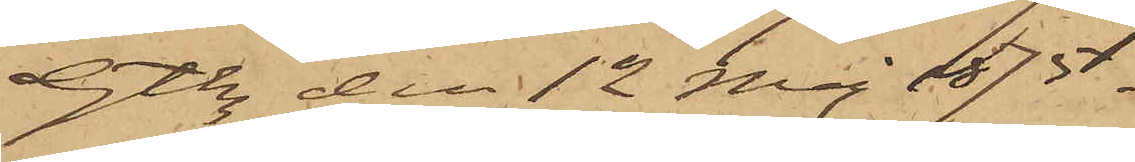Gtbg den 12 Maj 1875.
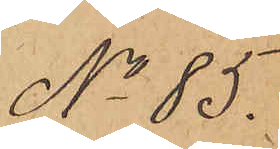No 85.
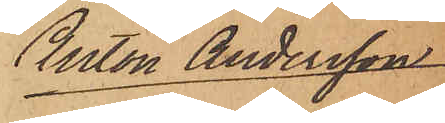Anton Andersson
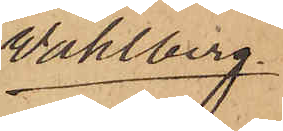Wahlberg.
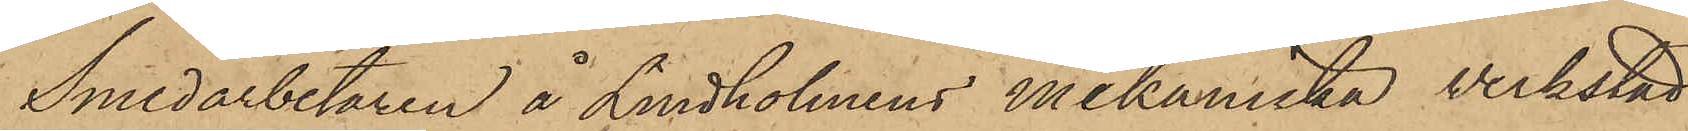Smedarbetaren å Lindholmens mekaniska verkstad
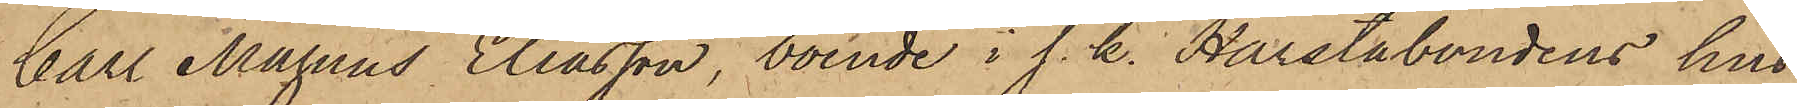Carl Magnus Eliasson, boende i s. k. Harstabondens hus
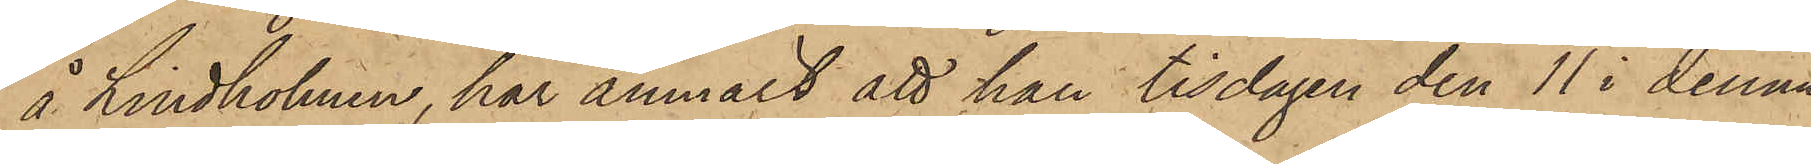å Lindholmen, har anmält att han tisdagen den 11 i denna
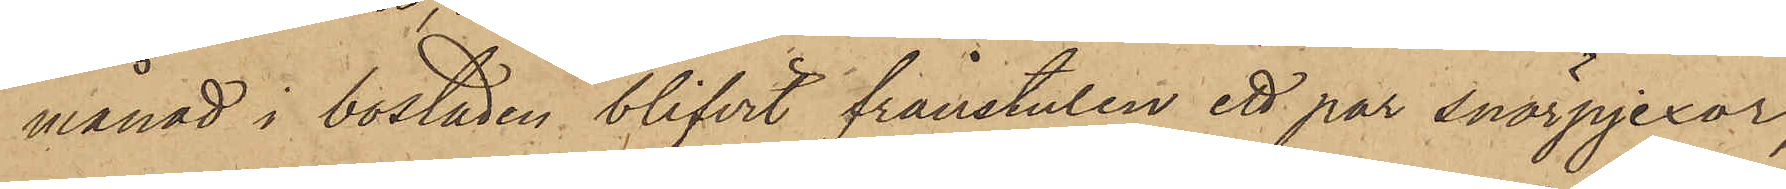månad i bostaden blifvit frånstulen ett par snörpjexor,
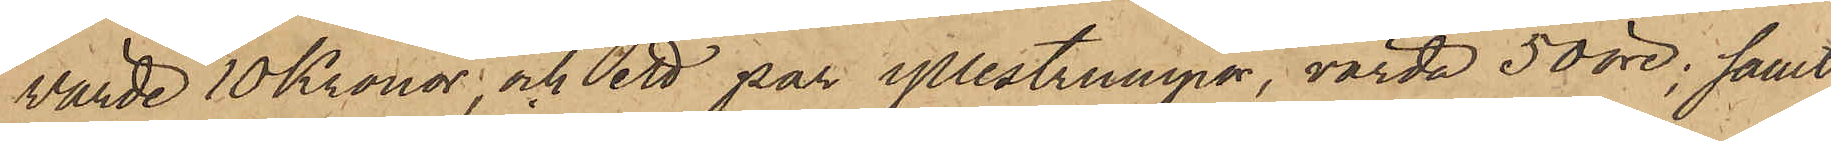värde 10 Kronor, och ett par yllestrumpor, värda 50 öre; samt
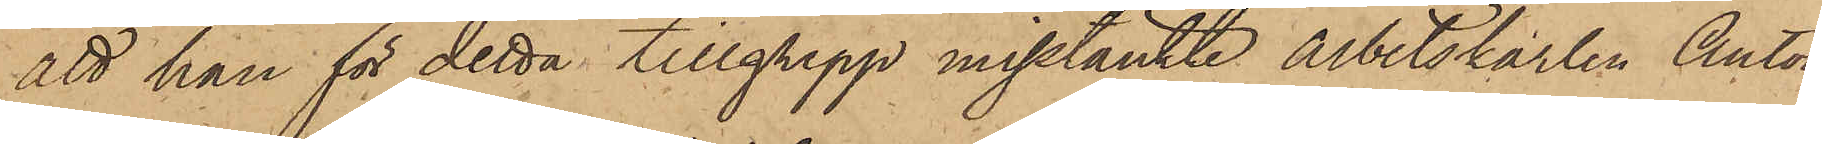att han för detta tillgrepp misstänkte arbetskarlen Anton
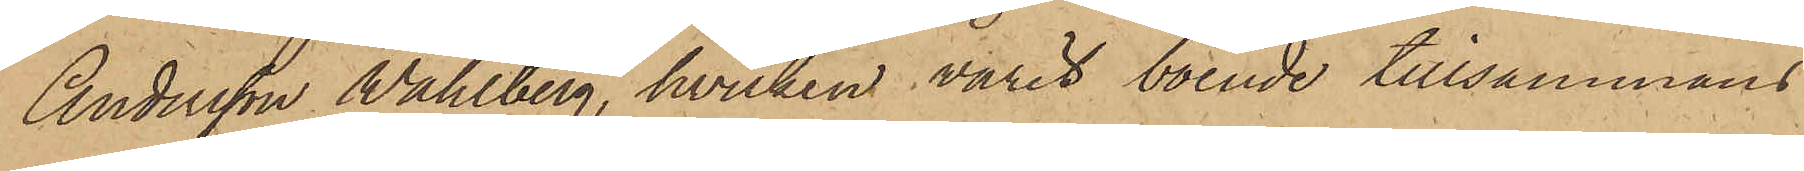Andersson Wahlberg, hvilken varit boende tillsammans
